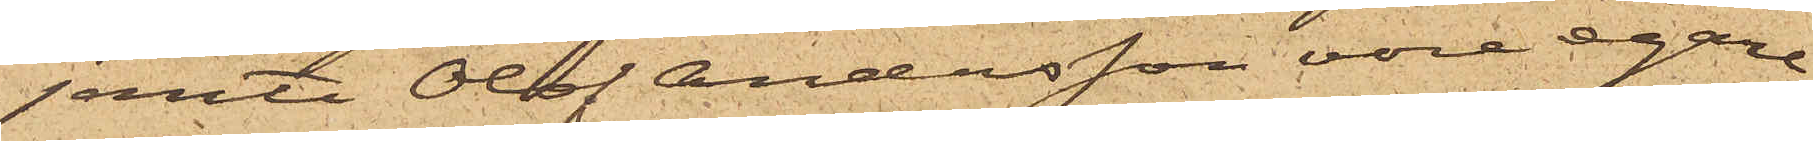jemte Olof Andersson vore egare
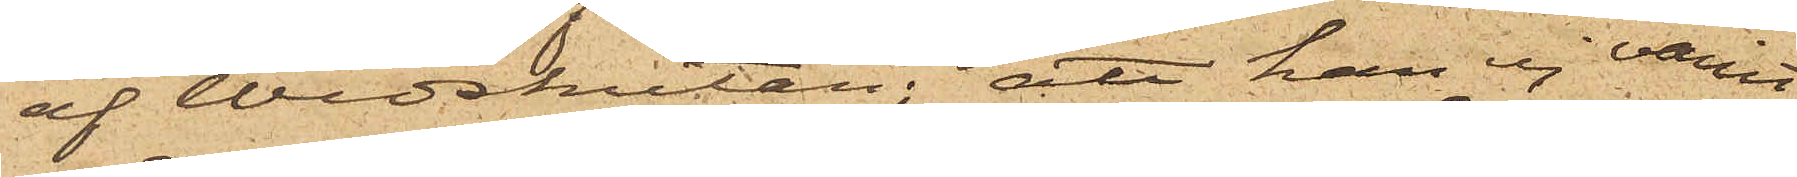af Wedskutan; att han ej varit
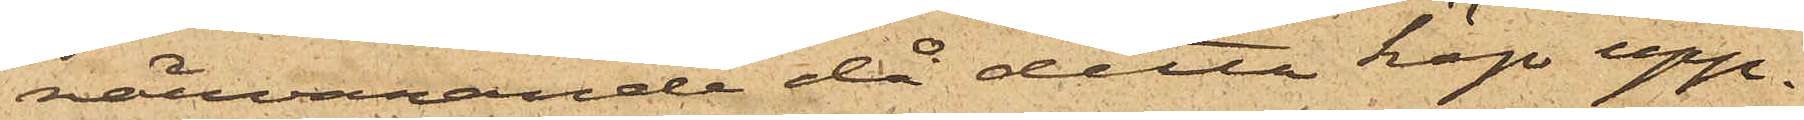närvarande då detta köp upp¬
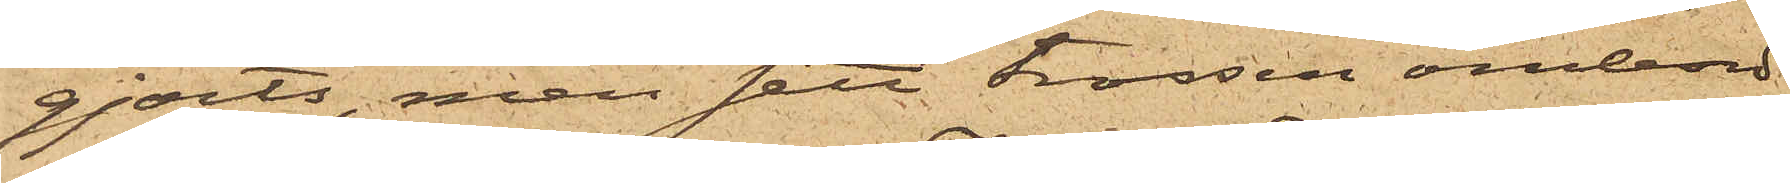gjorts, men sett trossen ombord
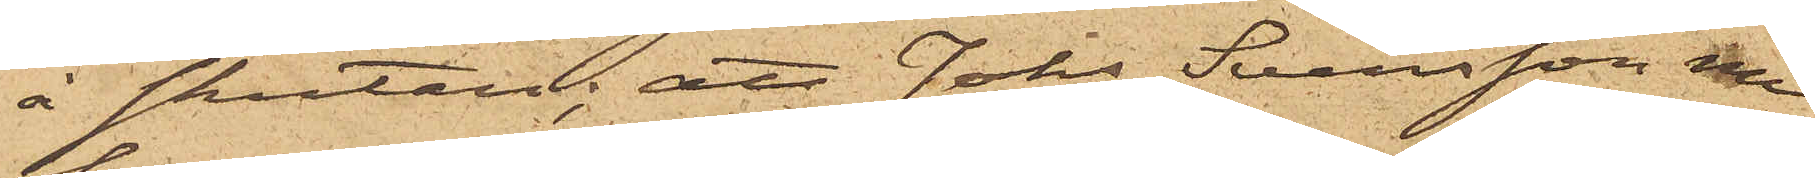å skutan; att Johs Svensson nu
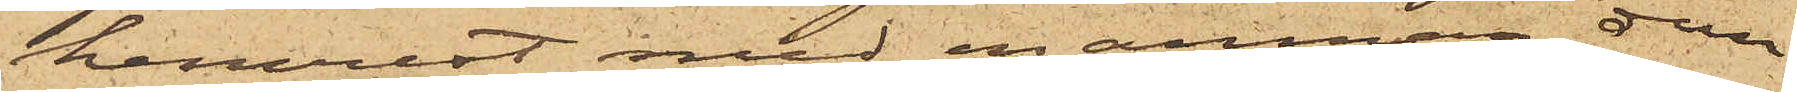hemrest med en annan dem
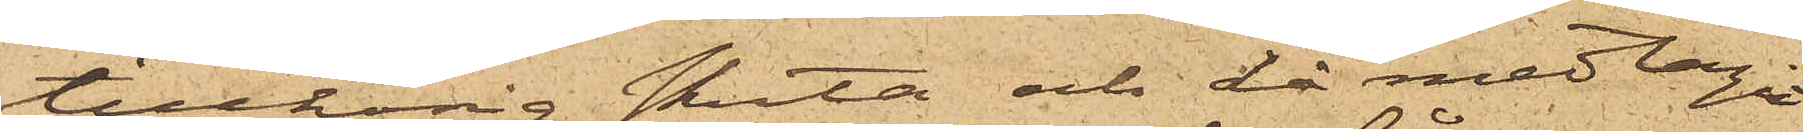tillhörig skuta och då medtagit
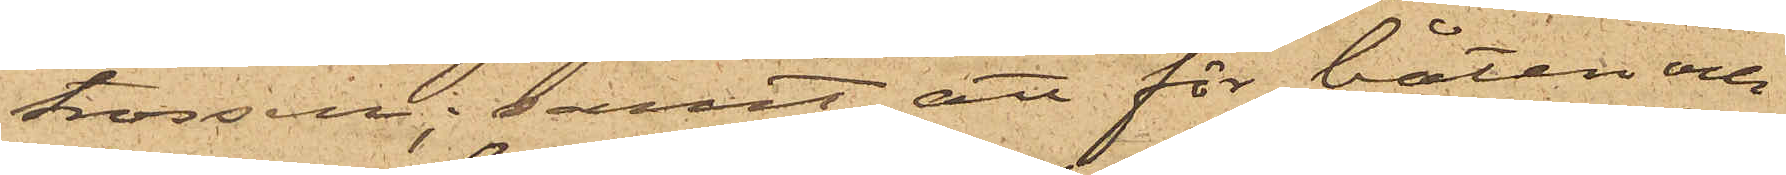trossen; samt att för båten och
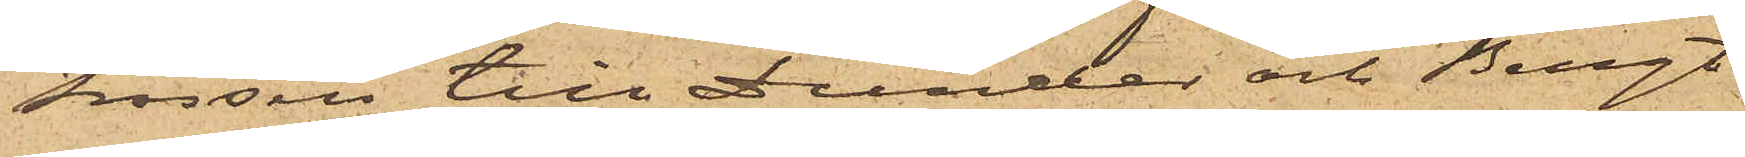trossen till Dunder och Bengt
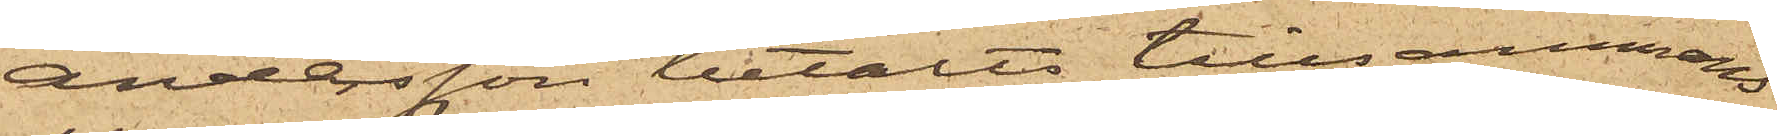Andersson betalts tillsammans
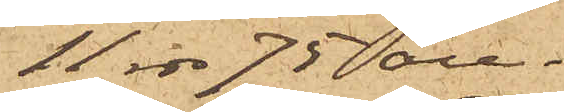11 rdr 75 öre.
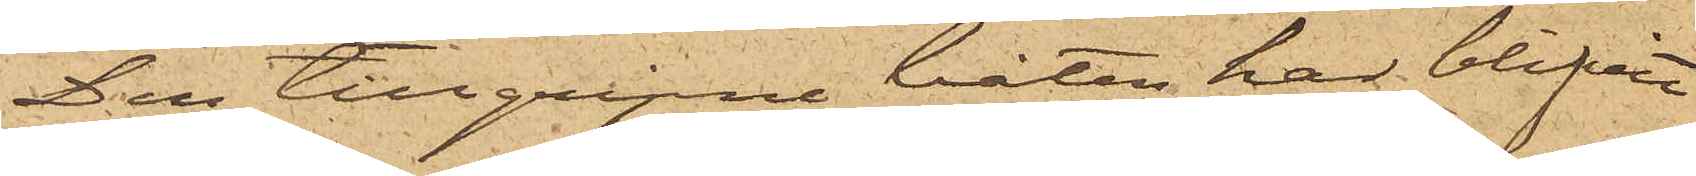Den tillgripne båten har blifvit
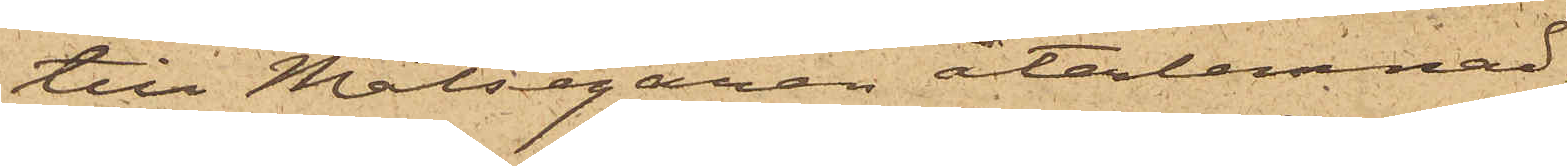till Målsegaren återlemnad.
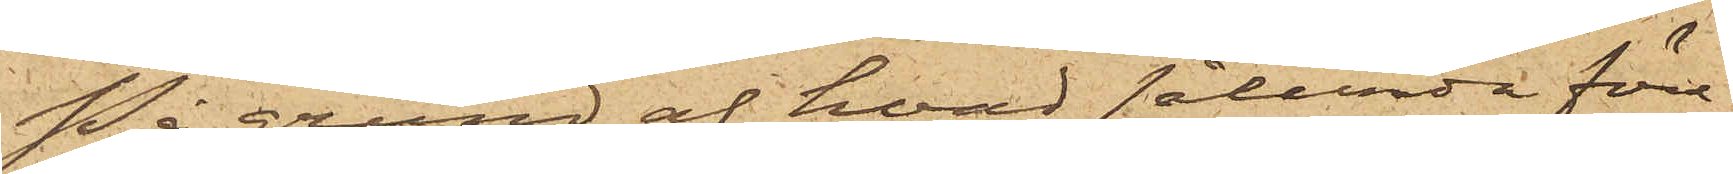På grund af hvad sålunda före¬
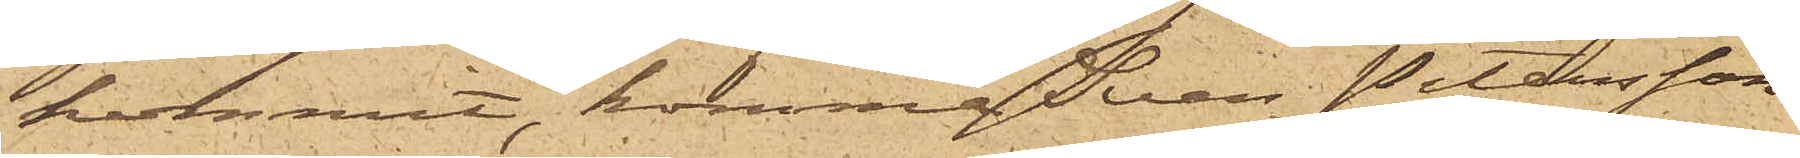kommit, kommer Sven Petersson
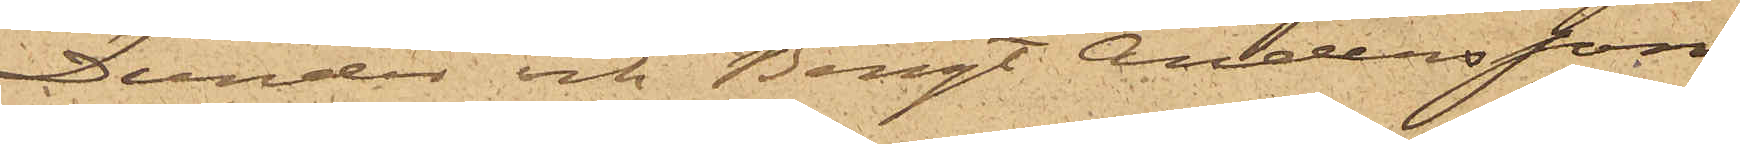Dunder och Bengt Andersson,
